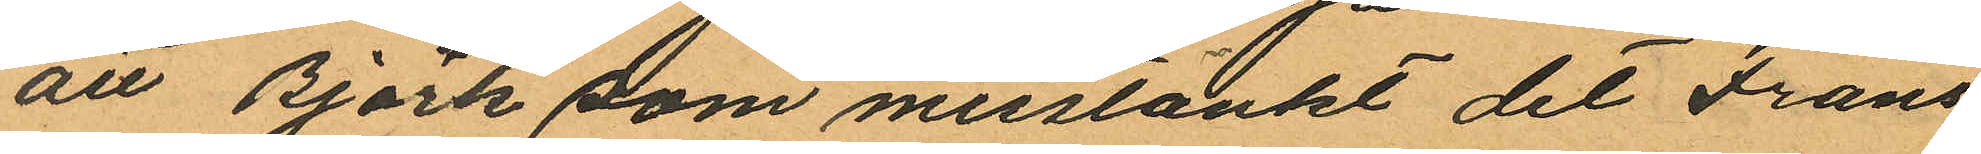att Björk som misstänkt det Frans
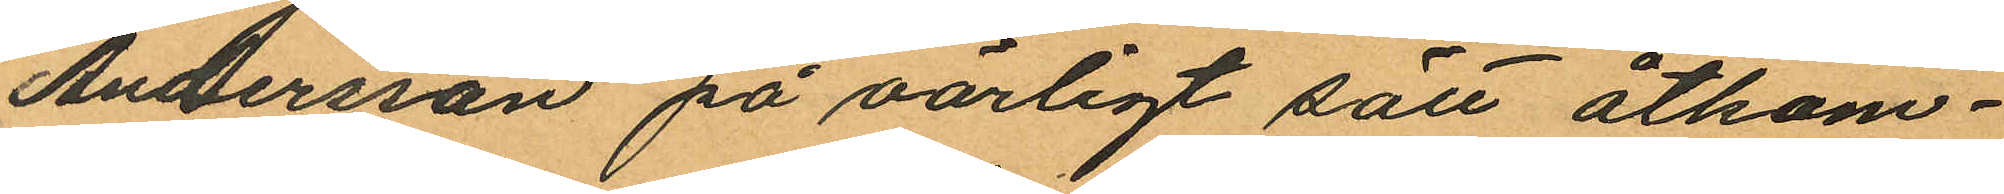Andersson på oärligt sätt åtkom¬
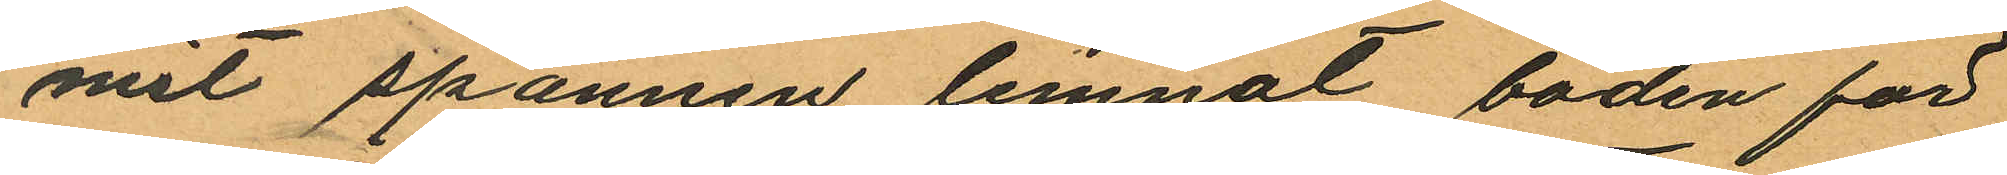mit spannen lemnat boden för
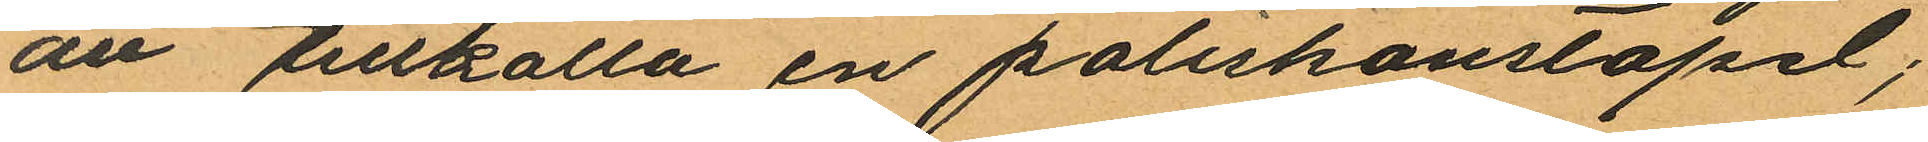ant tillkalla en poliskonstapel;
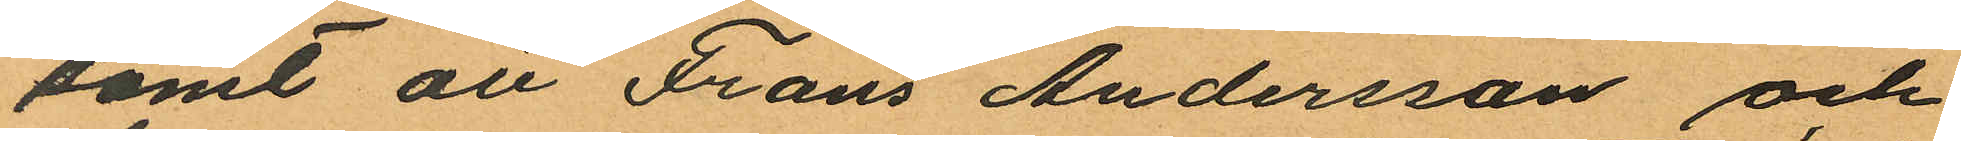samt att Frans Andersson och
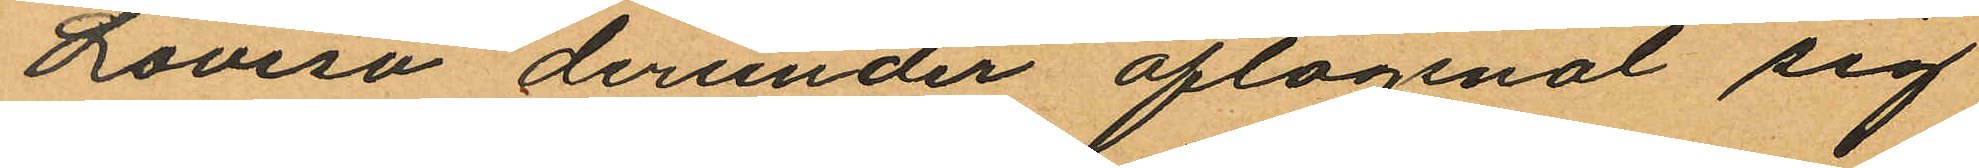Lovisa derunder aflägsnat sig
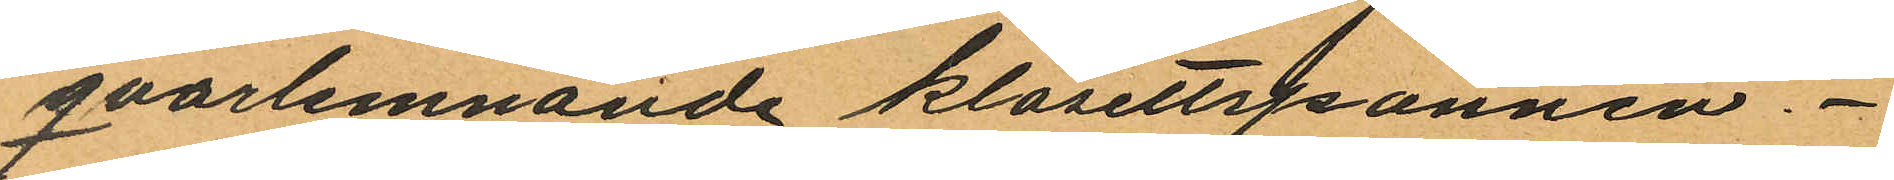qvarlemnande klosettspannen.
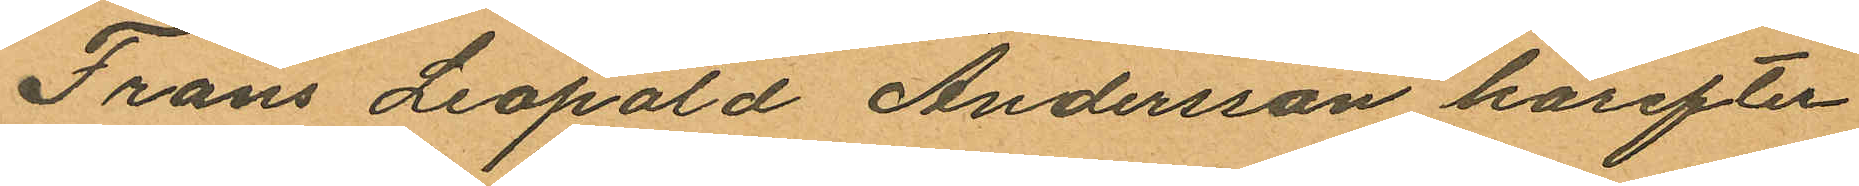Frans Leopald Andersson härefter
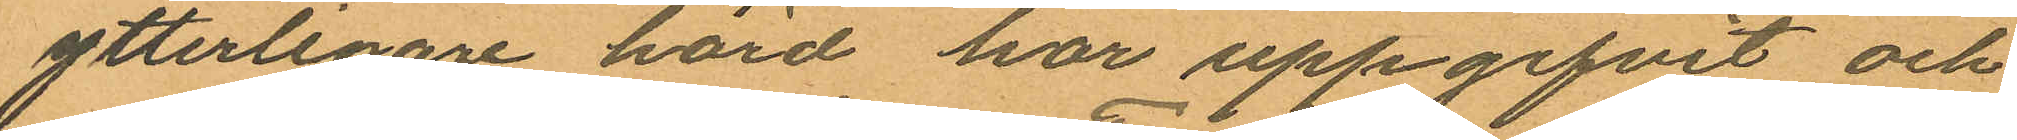ytterligare hörd har uppgifvit och
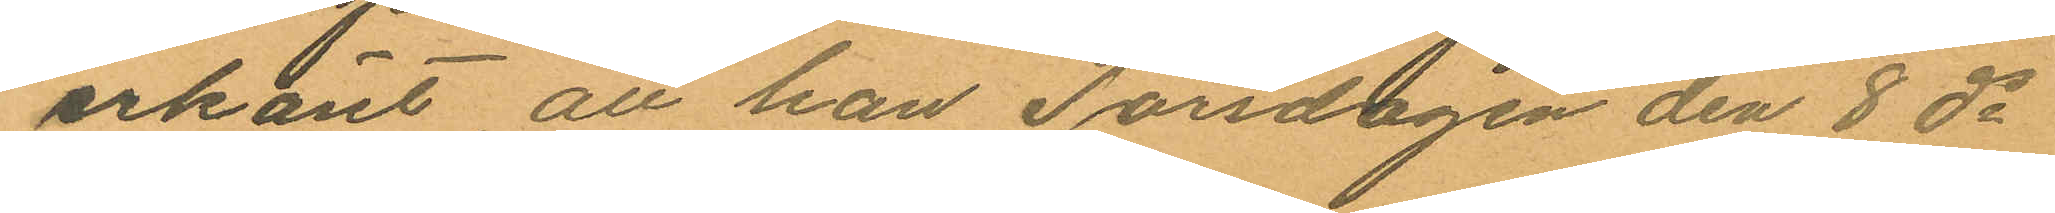erkänt att han Torsdagen den 8 ds
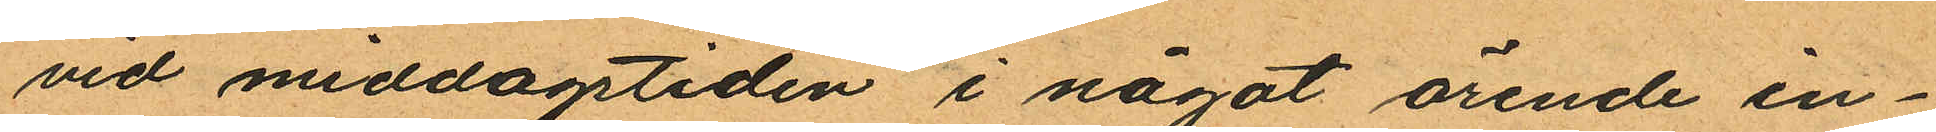vid middagstiden i något ärende in¬
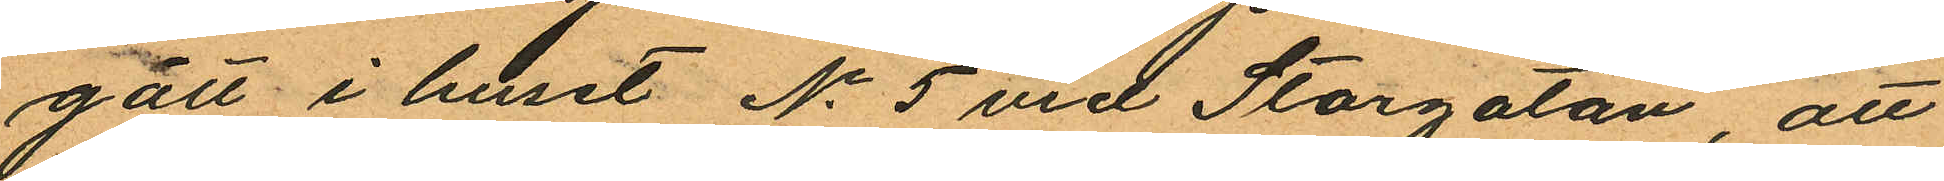gått i huset No 5 vid Storgatan, att
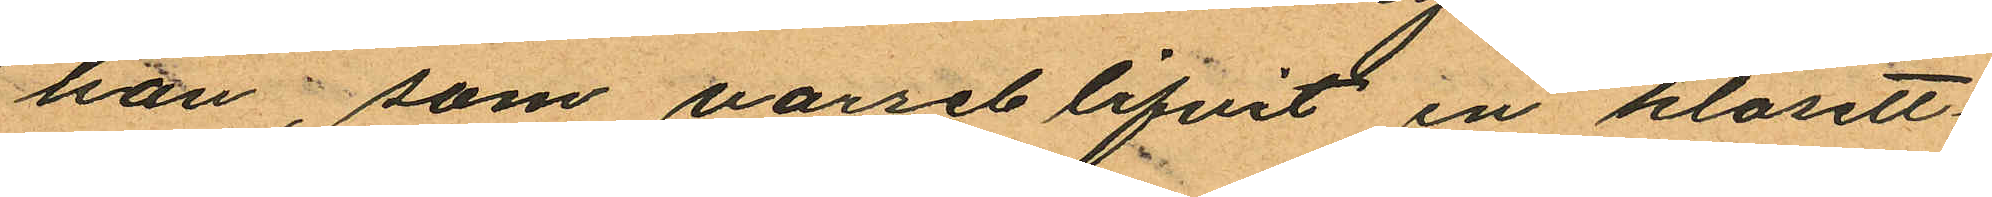han, som varseblifvit en klosett¬
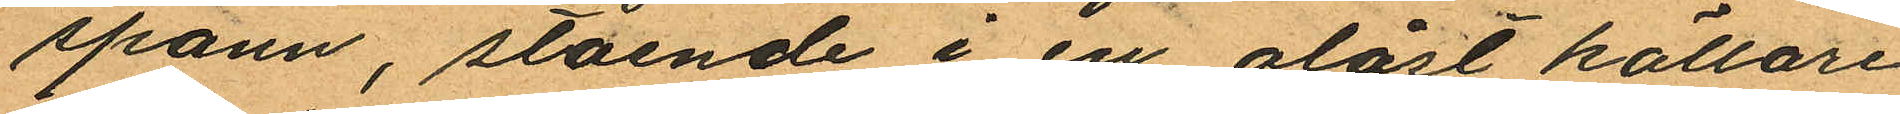spann, stående i en olåst källare
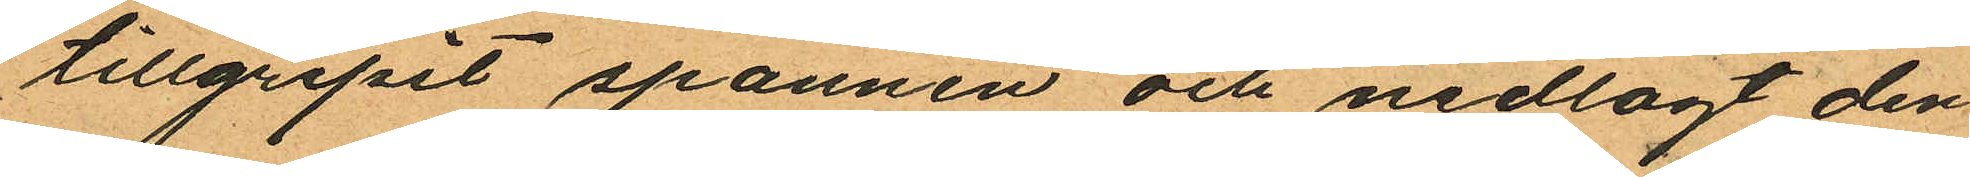tillgripit spannen och nedlagt den
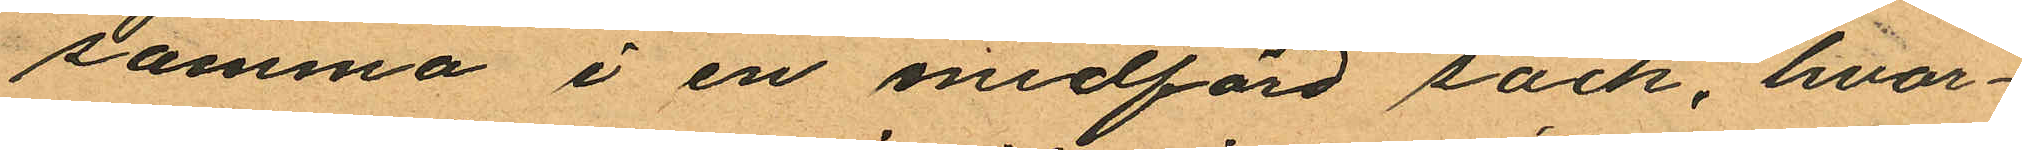samma i en medförd säck, hvar¬
